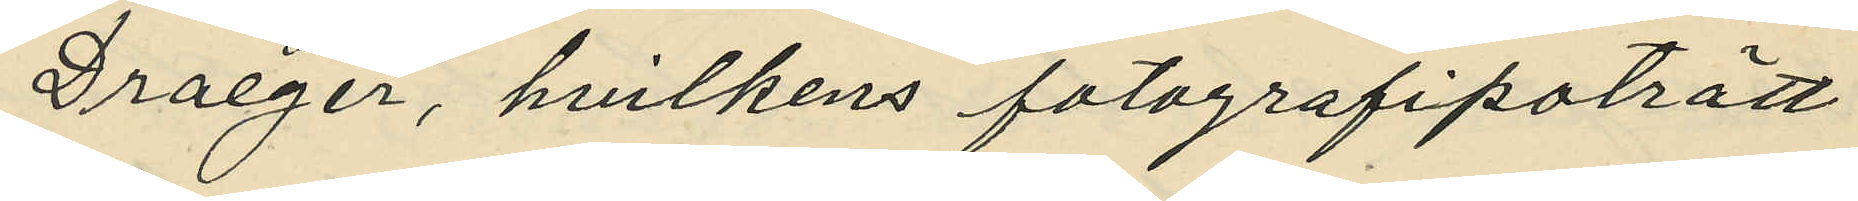Draeger, hvilkens fotografipoträtt
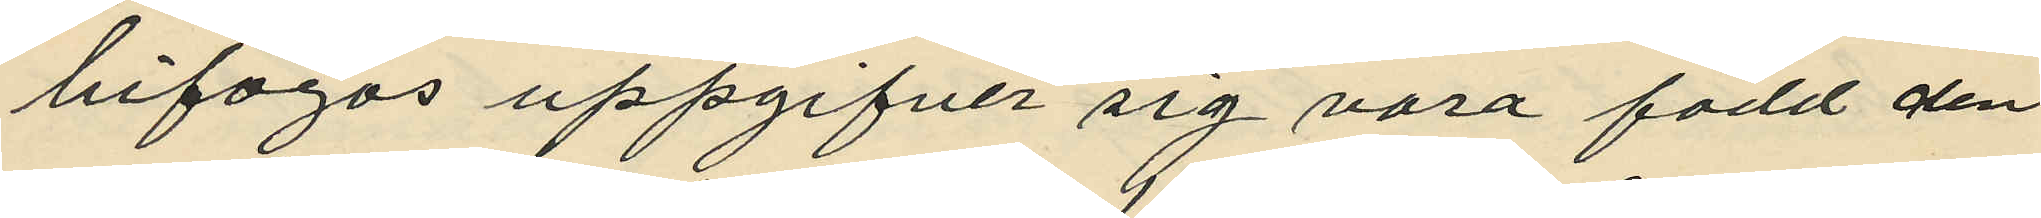bifogas uppgifver sig vara född den
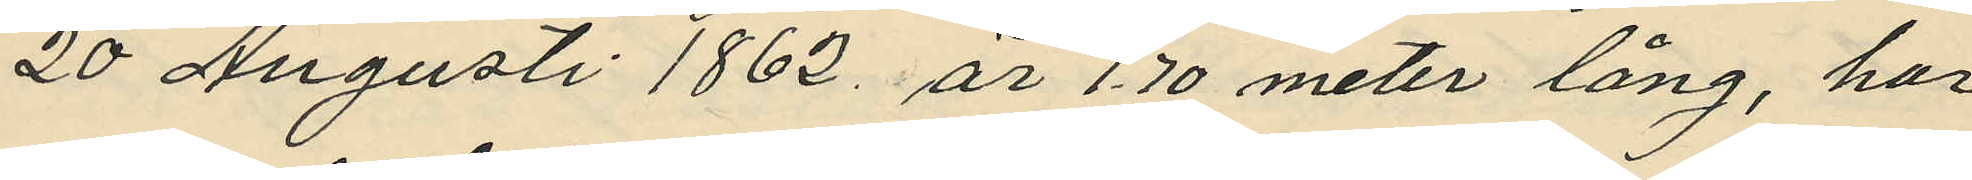20 Augusti 1862 är 1,70 meter lång, har
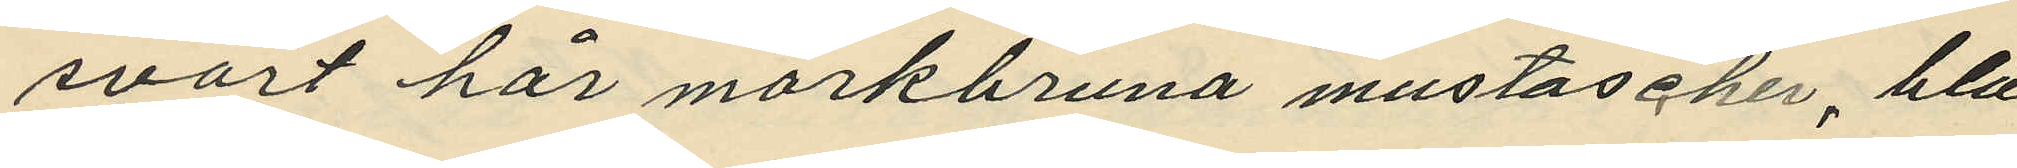svart hår mörkbruna mustascher, blå
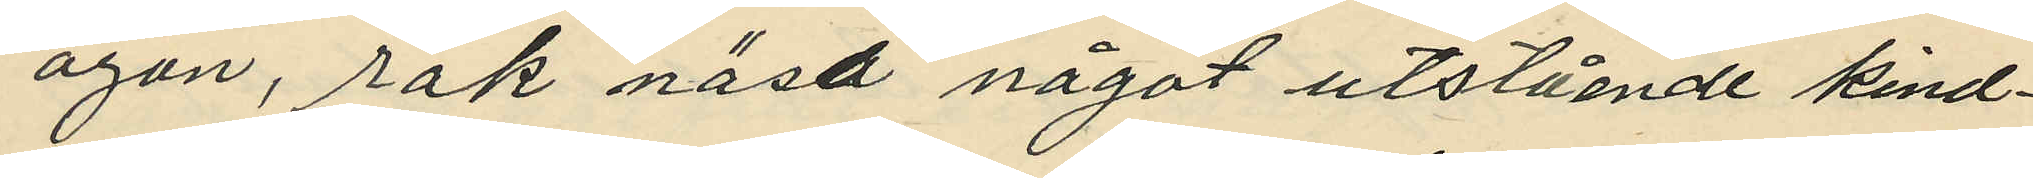ögon, rak näsa något utstående kind¬
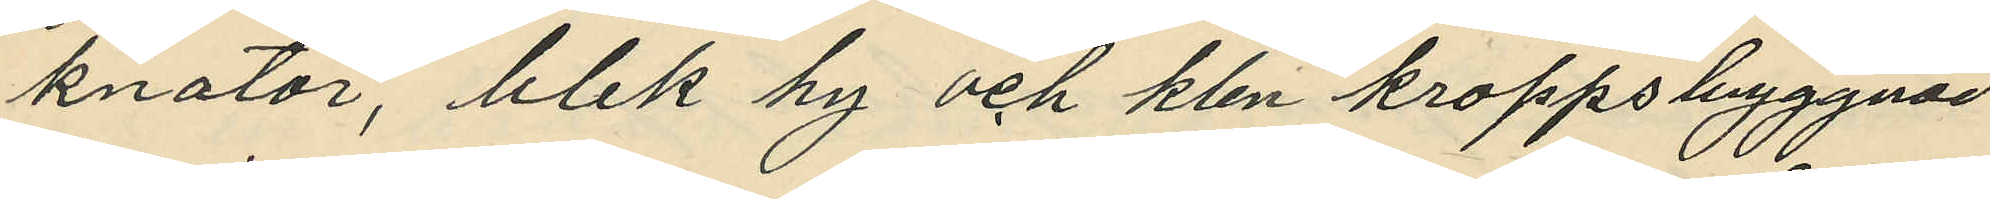knotor, blek hy och klen kroppsbyggnad.
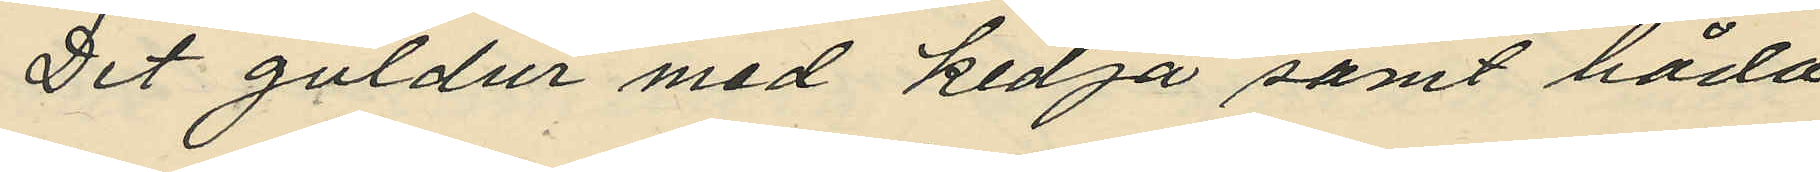Det guldur med kedja samt båda
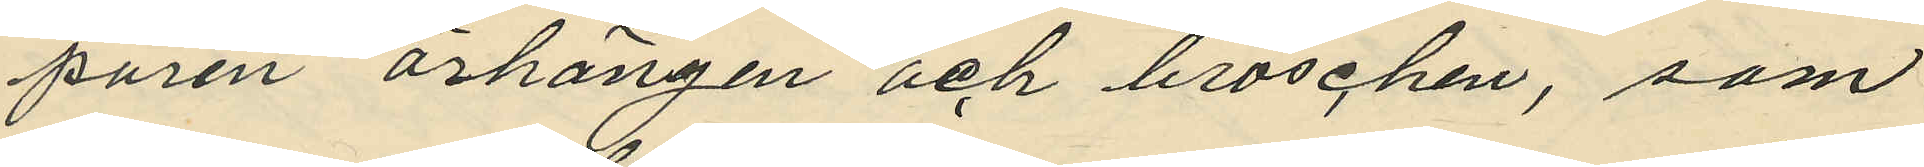paren örhängen och broschen, som
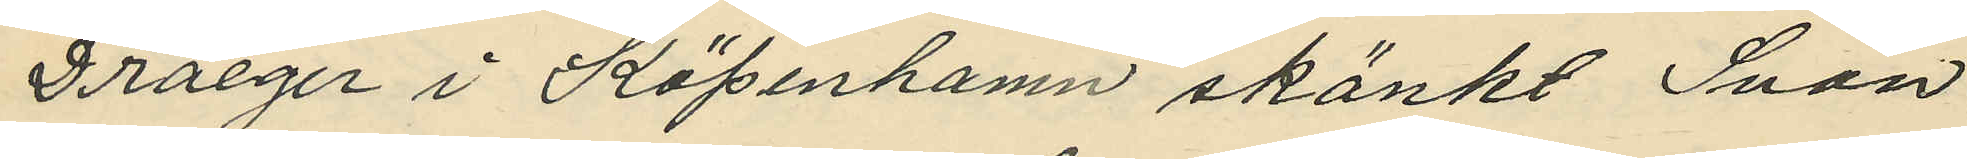Draeger i Köpenhamn skänkt Svan
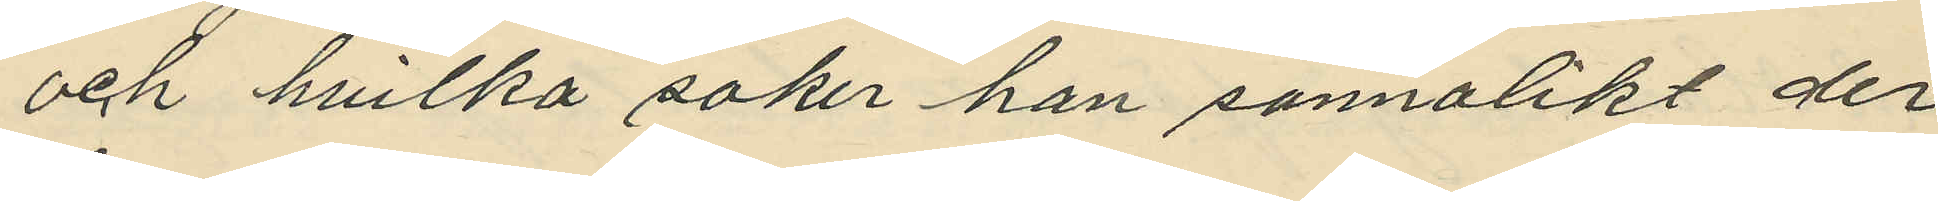och hvilka saker han sannolikt der
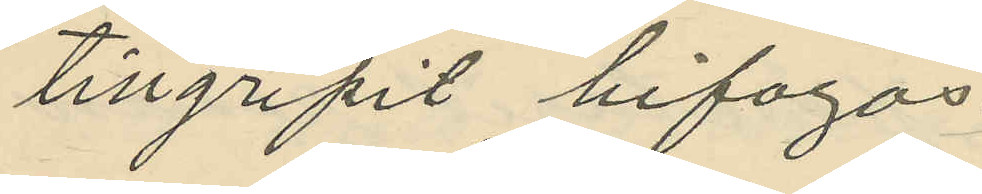tillgripit bifogas.
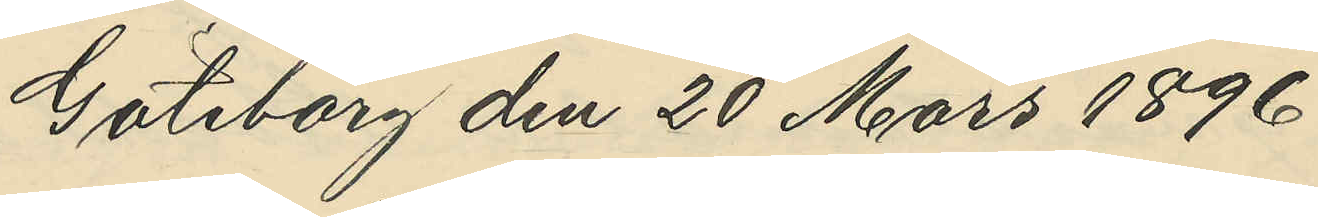Göteborg den 20 Mars 1896
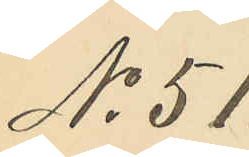No 51.
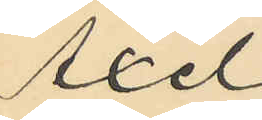Axel
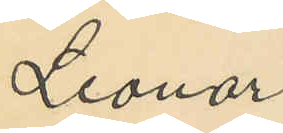Leonard
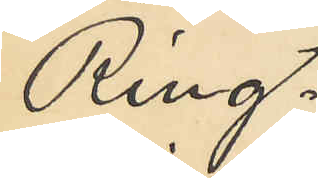Ring¬
